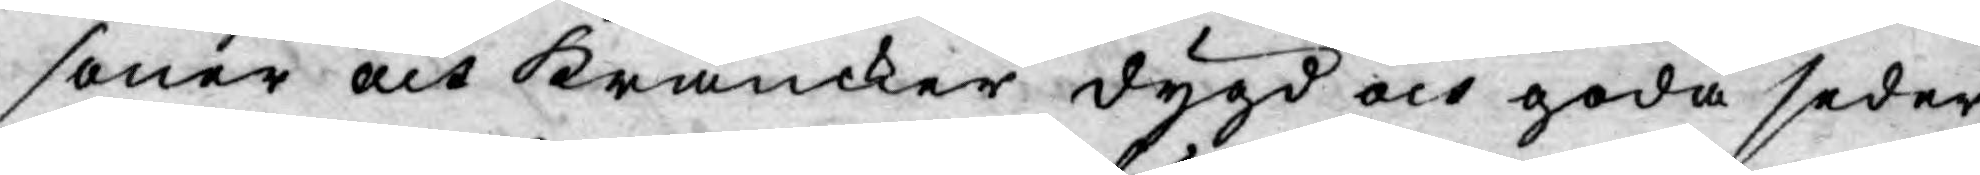soner och kräncker dygd och goda seder,
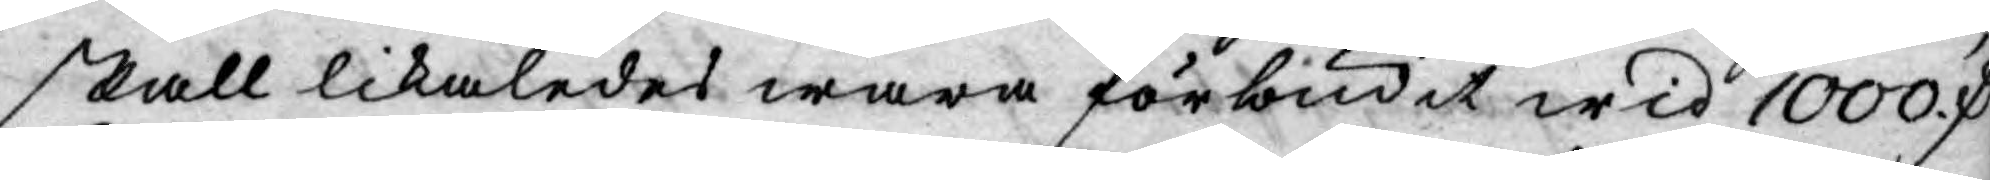skall likaledes wara förbudit wid 1000 D
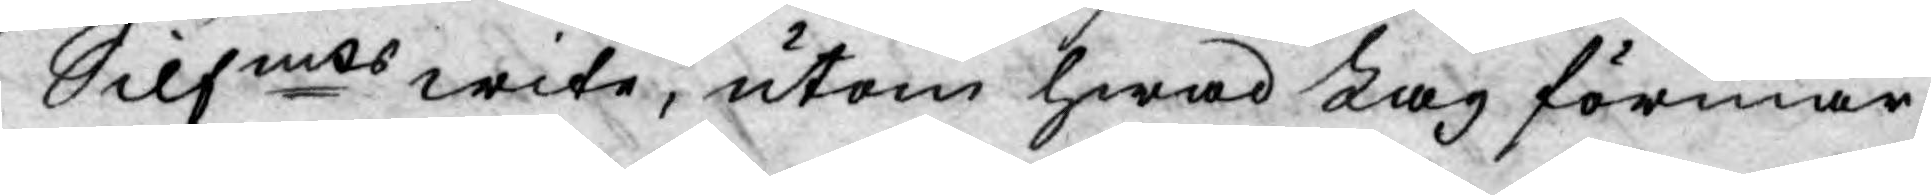Silfmts wite, utom hwad Lag förmår.
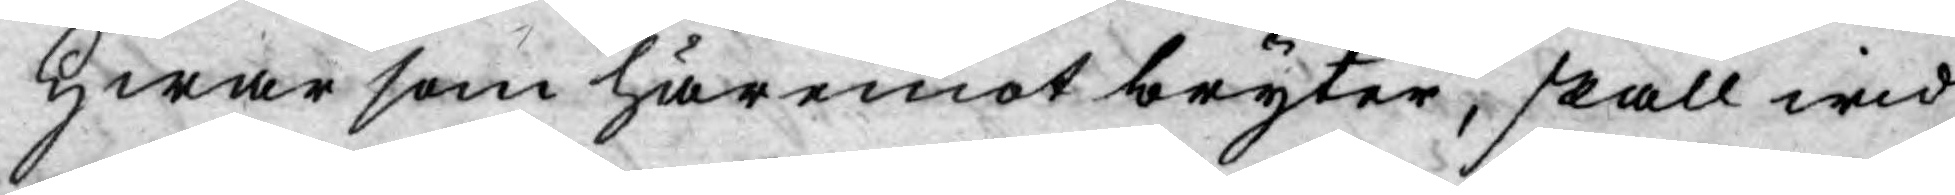Hwar som häremot bryter, skall wid
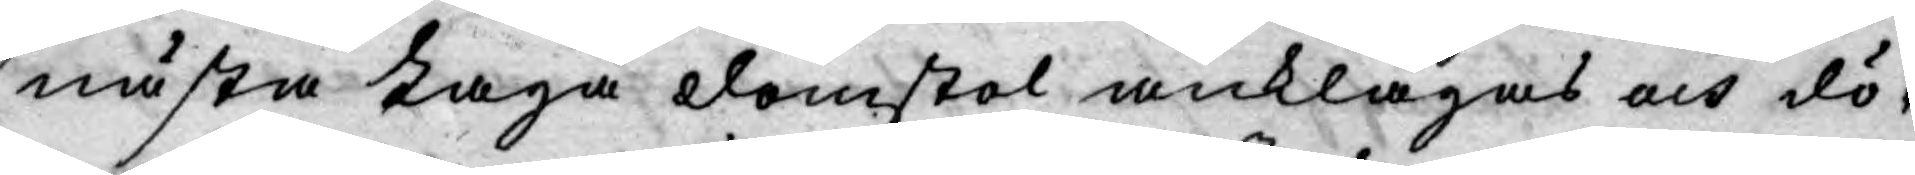nästa Laga domstol anklagas och dö¬
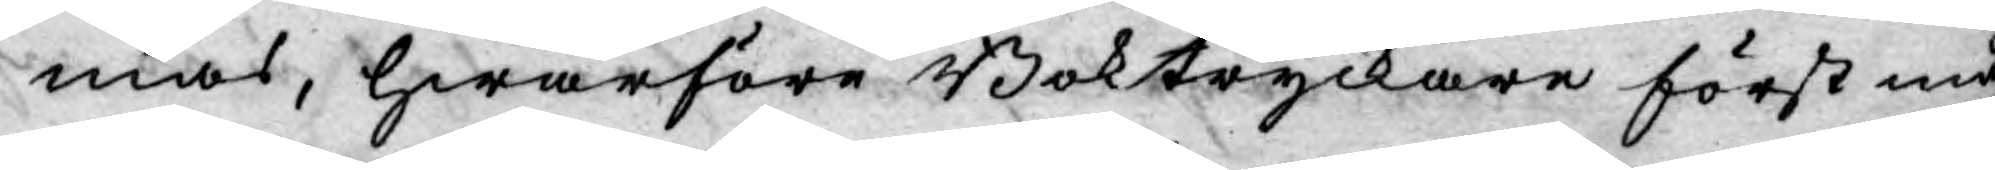mas, hwarföre Boktryckare först må
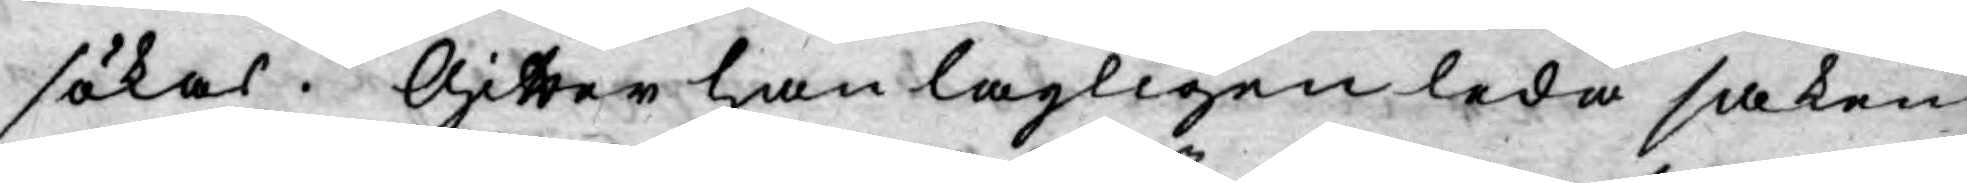sökas. Gitter han lagligen leda saken
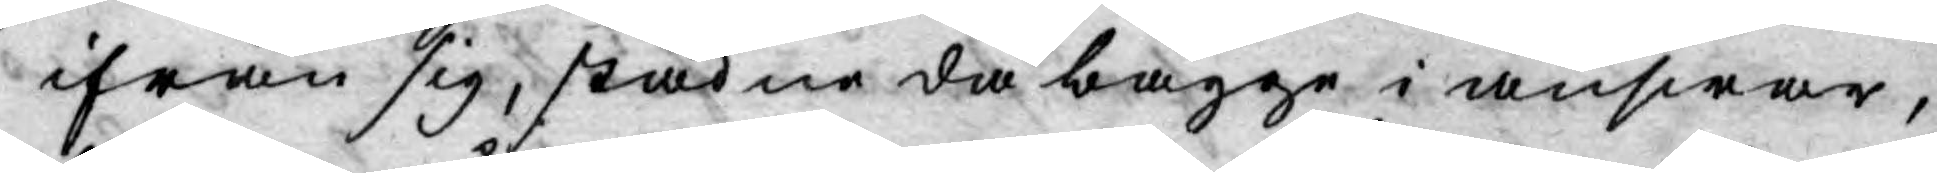ifrån sig, stadne då bägge i answar,
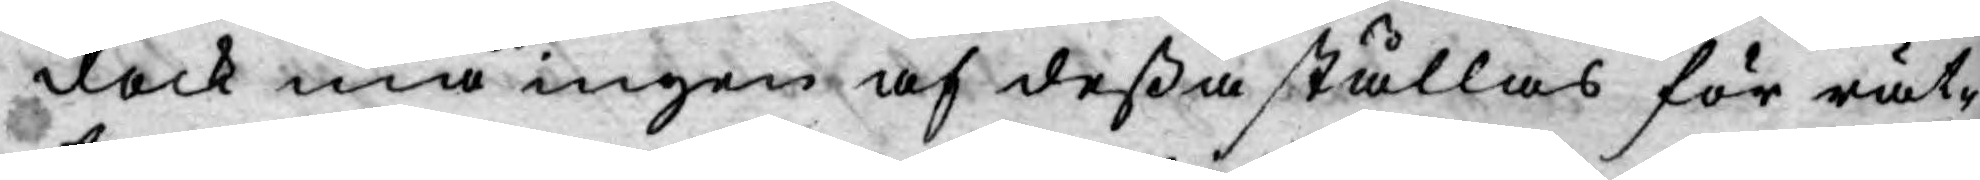dock må ingen af deßa ställas för rät¬
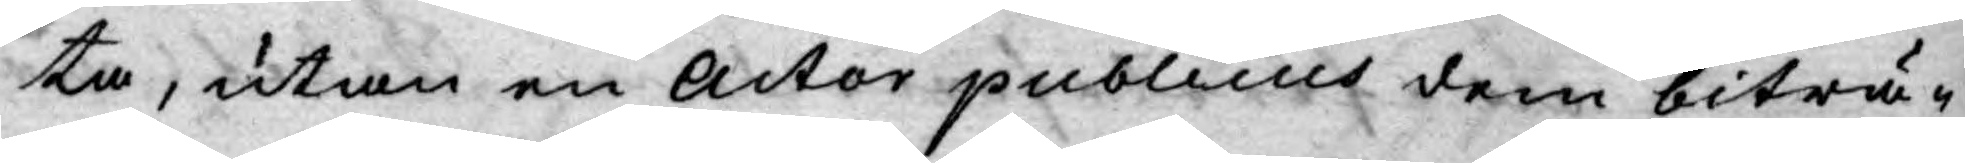ta, utan en Actor publicus dem biträ¬
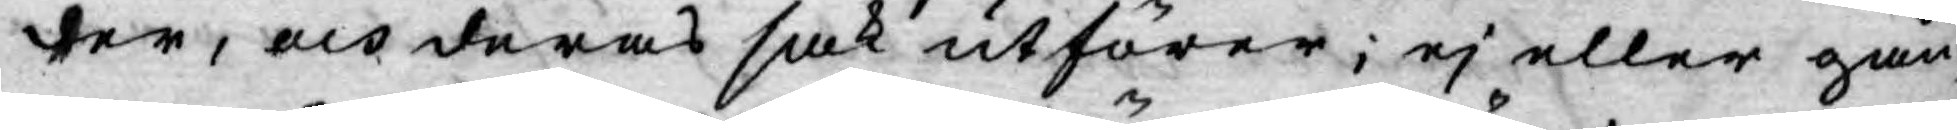der, och deras sak utförer; ej eller gån¬
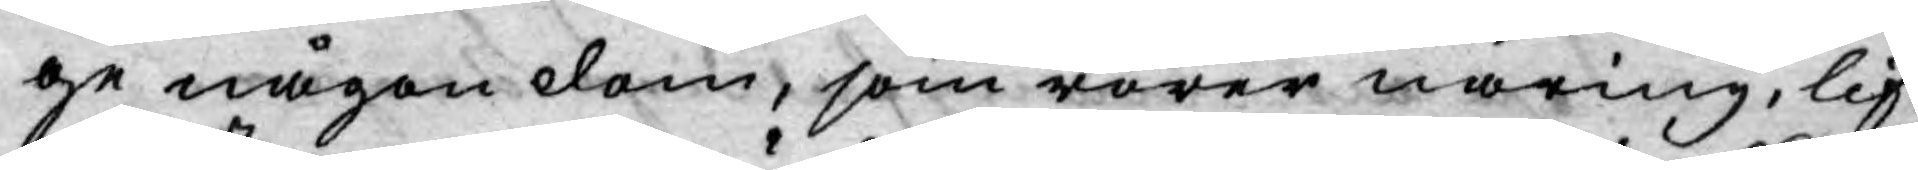ge någon dom, som rörer näring, lif
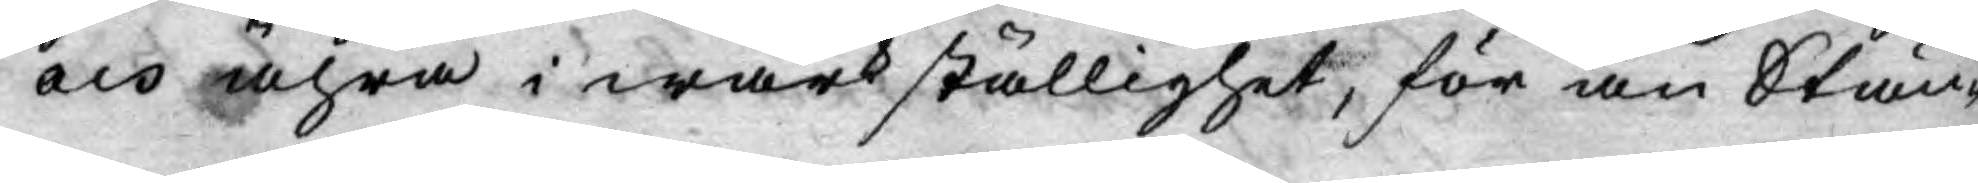och ähra i wärkställighet, för än Stän¬
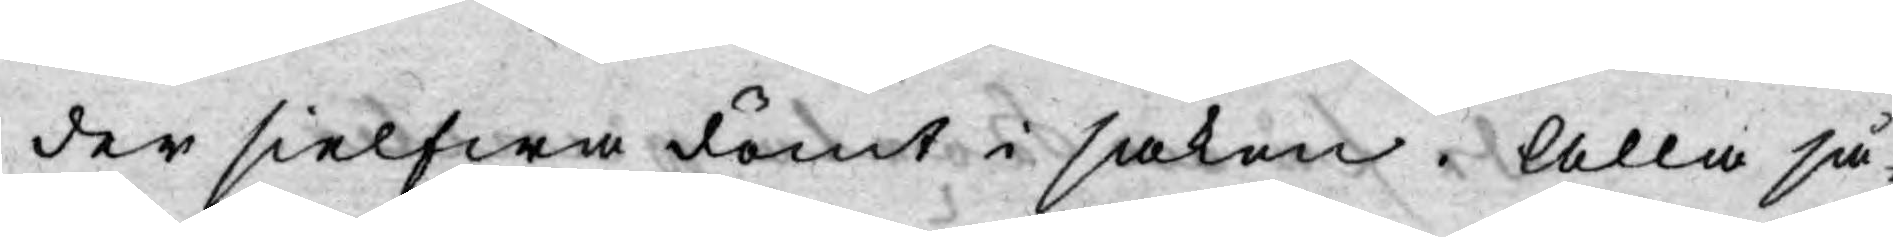der sielfwa dömt i saken. Alla så¬
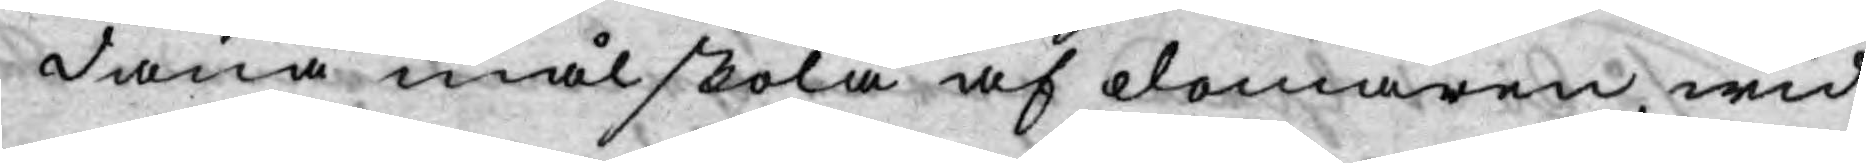dana mål skola af domaren, wid
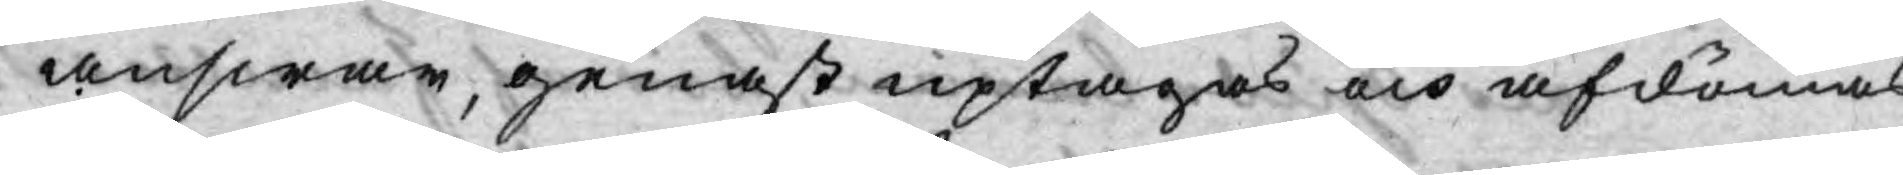answar, genast uptagas och afdömas.
